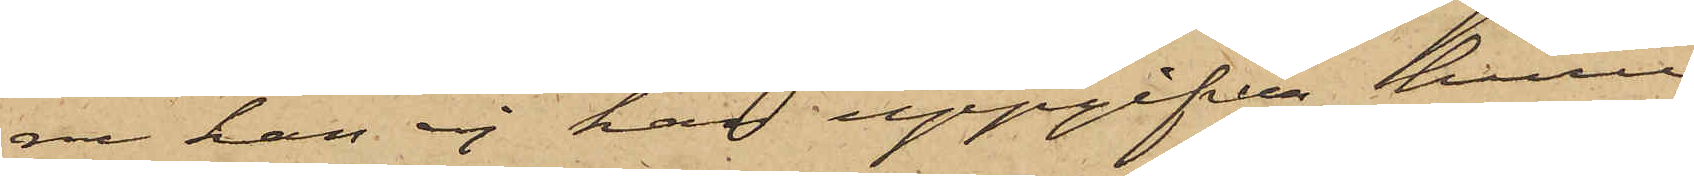ru han ej kan uppgifva huru
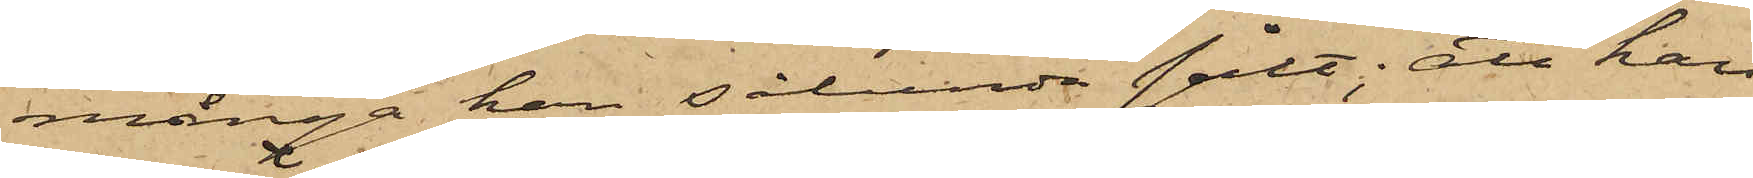många han sålunda sålt; att han
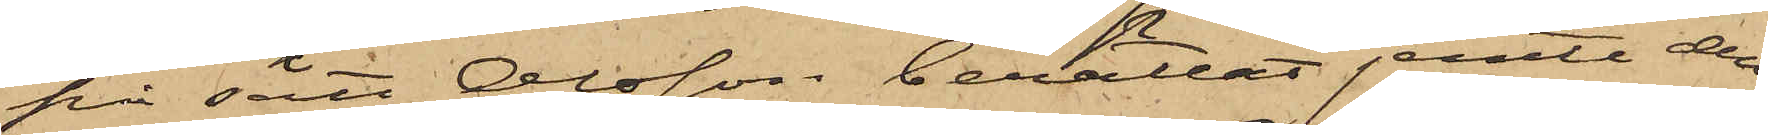på sätt Olsson berättat jemte den¬
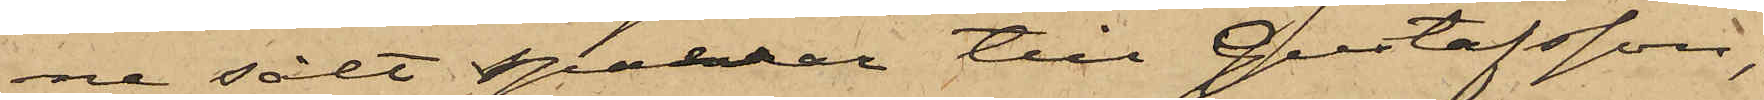ne sålt sparrar till Gustafsson;
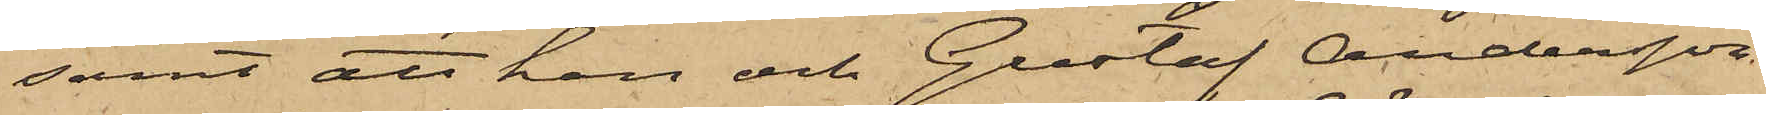samt att han och Gustaf Andersson
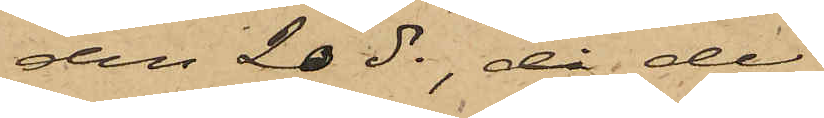den 20 ds, då de
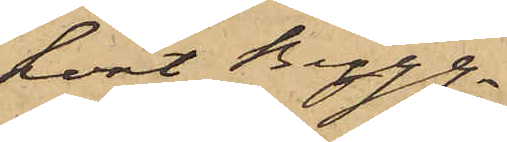kört Bygg¬
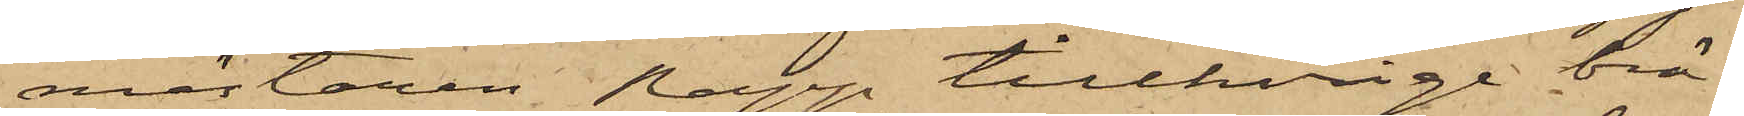mästaren Rapp tillhörige brä¬
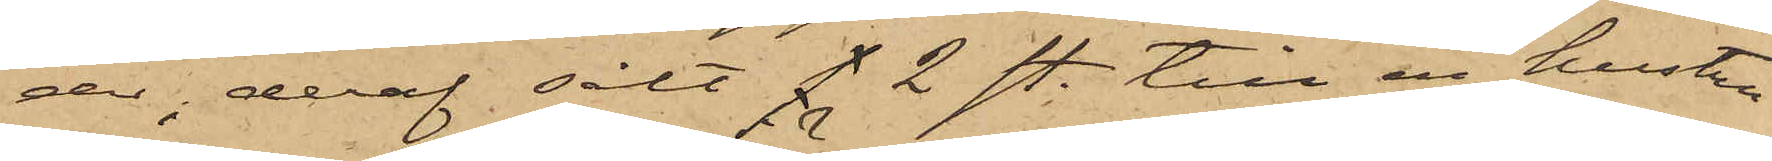der, deraf sålt s 2 st. till en hustru
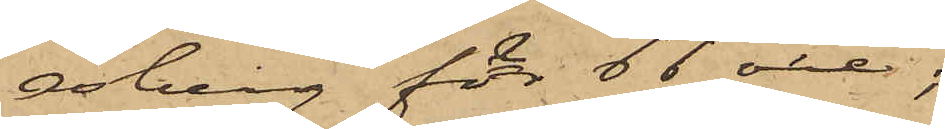Isberg för 66 öre;
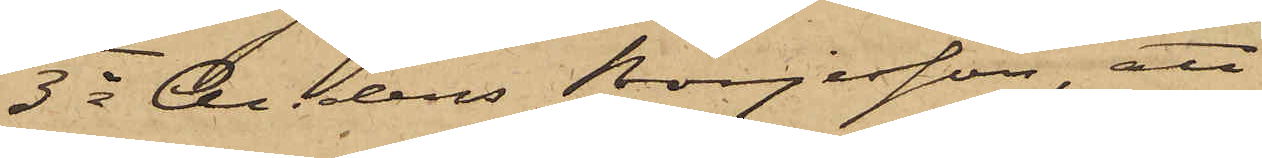3o Anders Börjesson, att
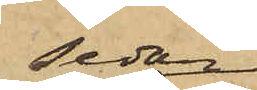sedan
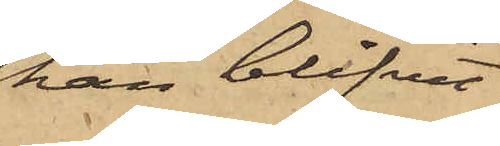han blifvit
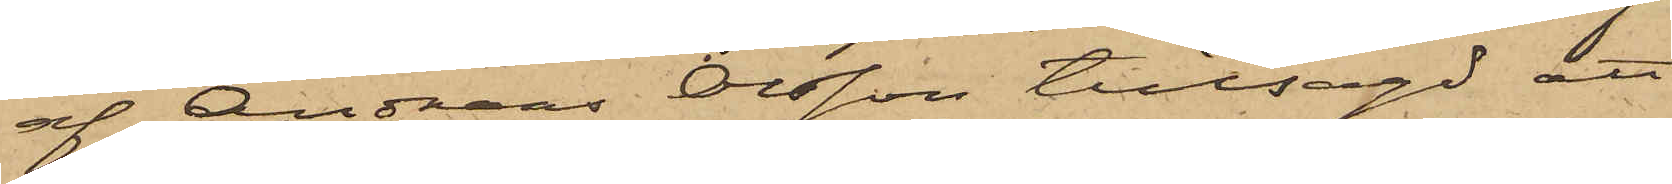af Andreas Olsson tillsagd att
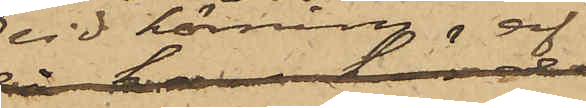vid körning af
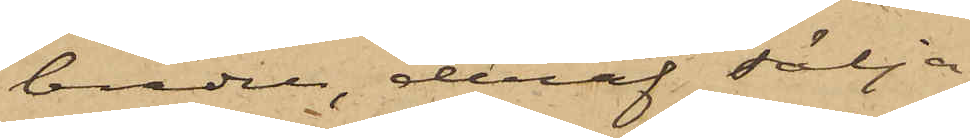bräder, deraf sälja
